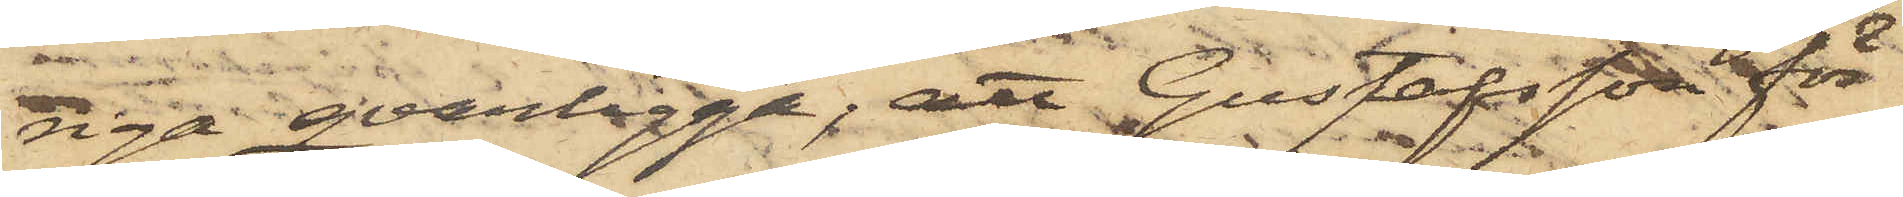riga qvarligga; att Gustafsson för
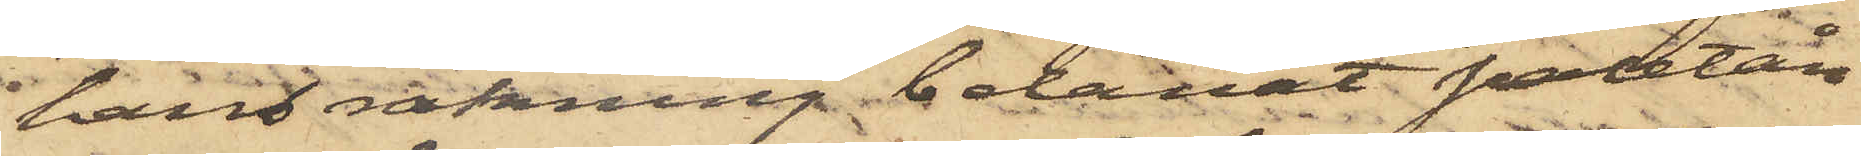hans räkning belånat paletån
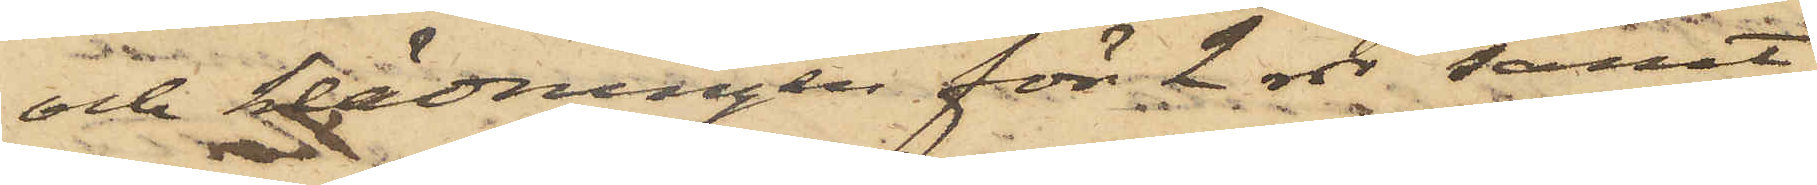och klädningen för 2 rdr samt
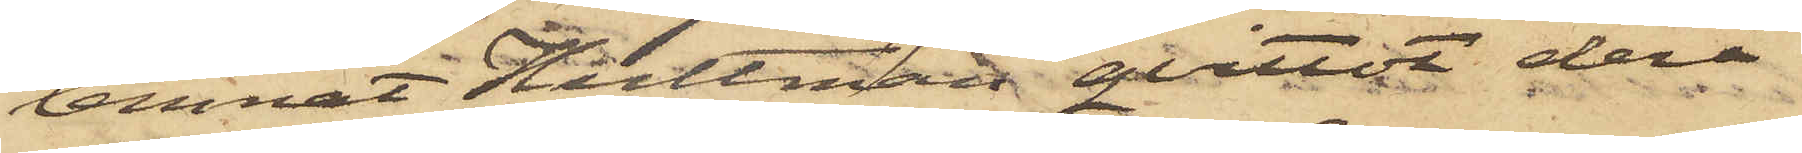lemnat Hultman qvittot derå
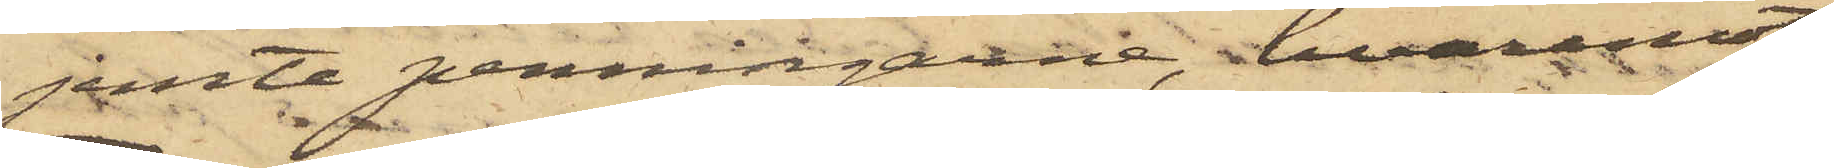jemte penningarne, hvaremot
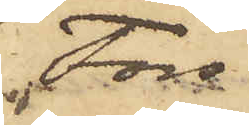Fors
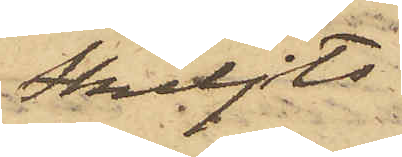skiljts
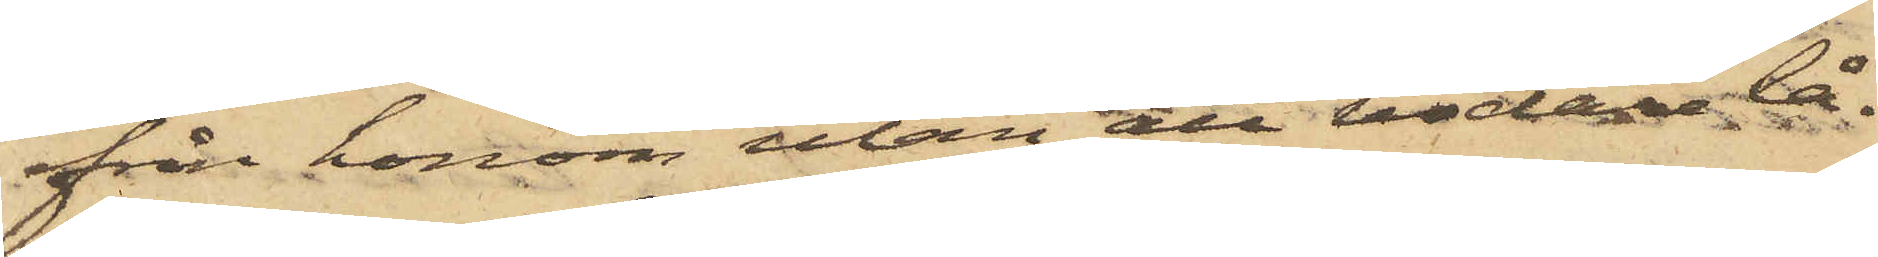från honom utan att vidare lå¬
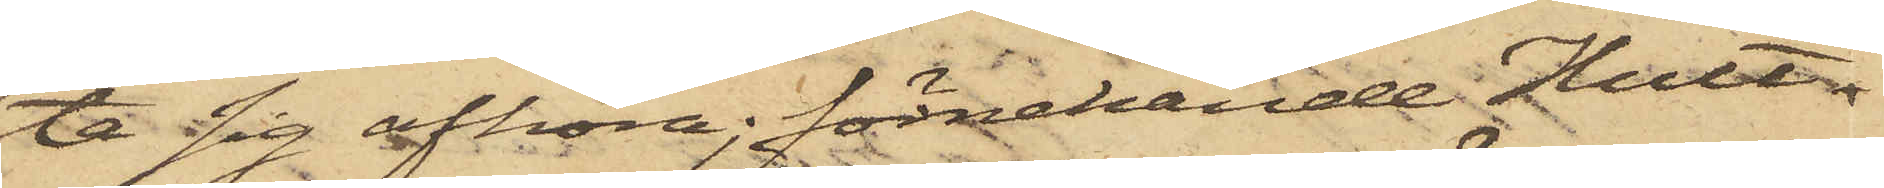ta sig afhöra; förnekande Hult¬
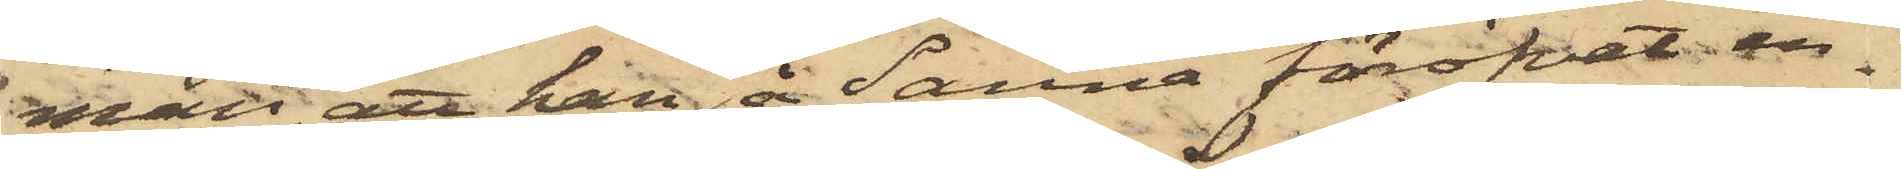man att han å Sanna föröfvat in¬
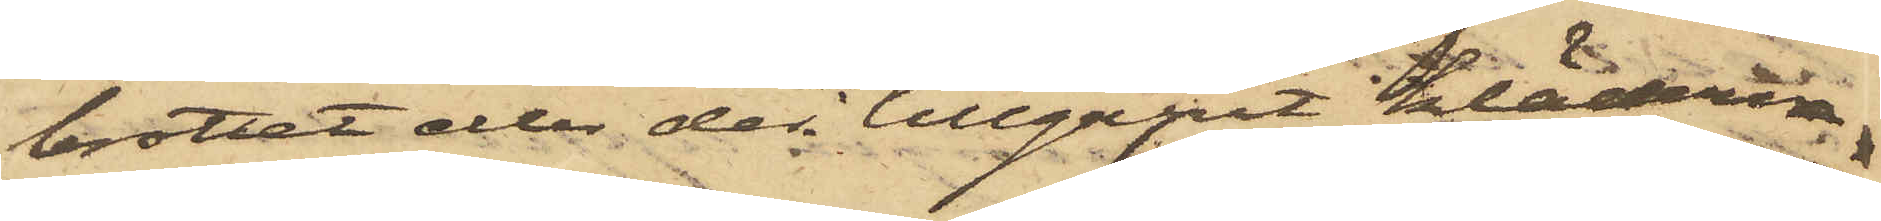brottet eller der tillgripit kläderna.
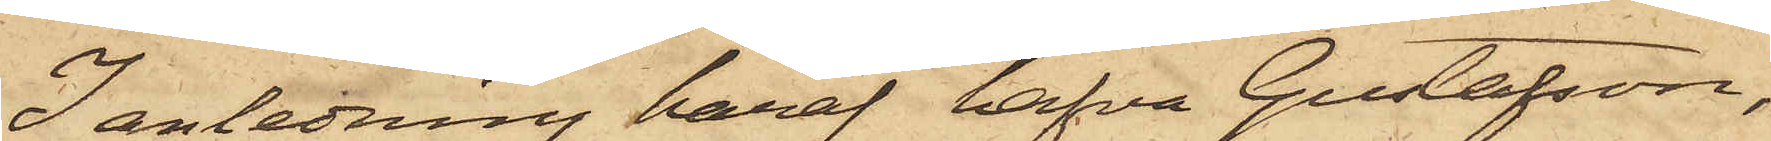I anledning häraf hafva Gustafson,
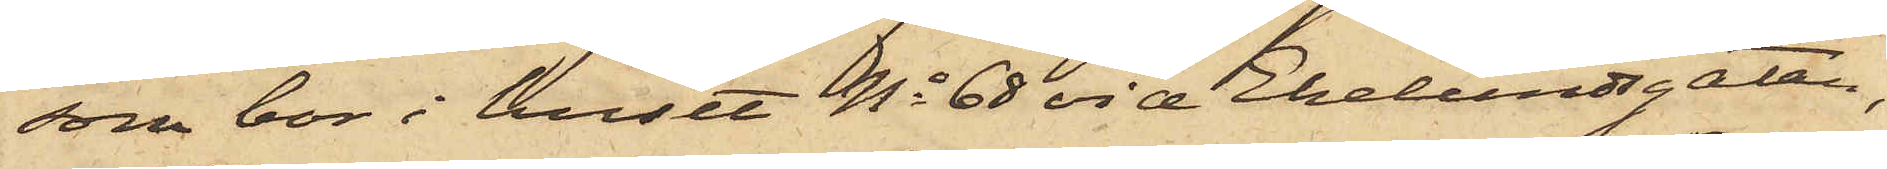som bor i huset No 68 vid Ekelundsgatan,
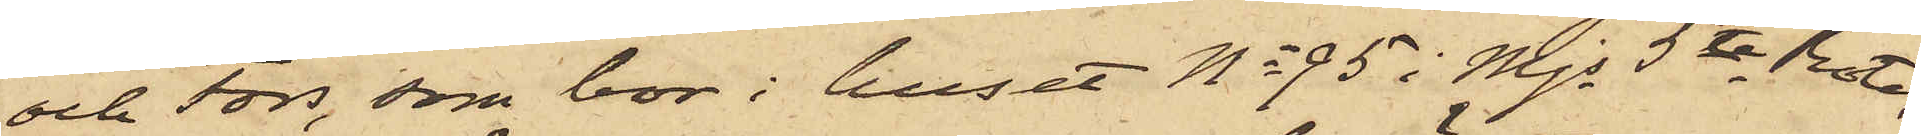och Fors, som bor i huset No 95 i Mjs 5te Rote,
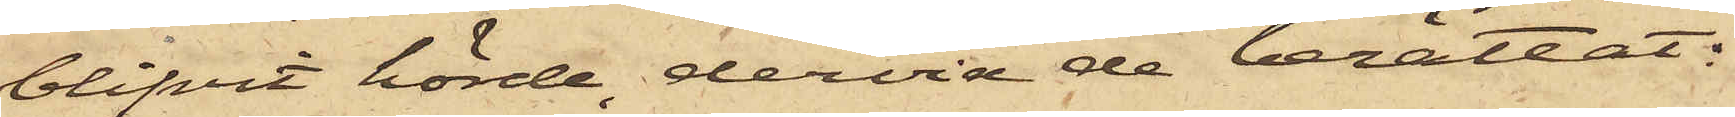blifvit hörde, dervid de berättat:
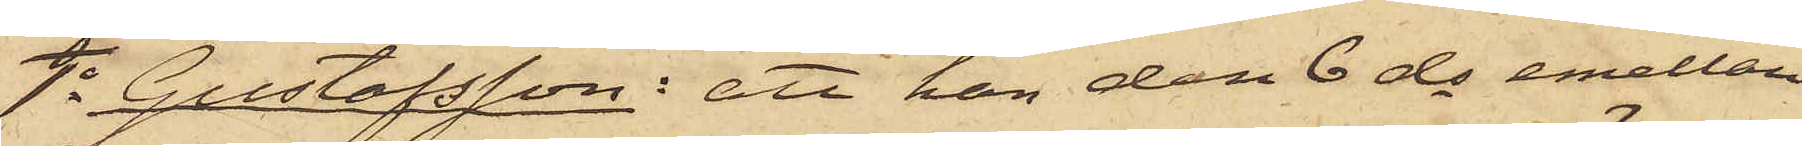1o Gustafsson: att han den 6 ds emellan
